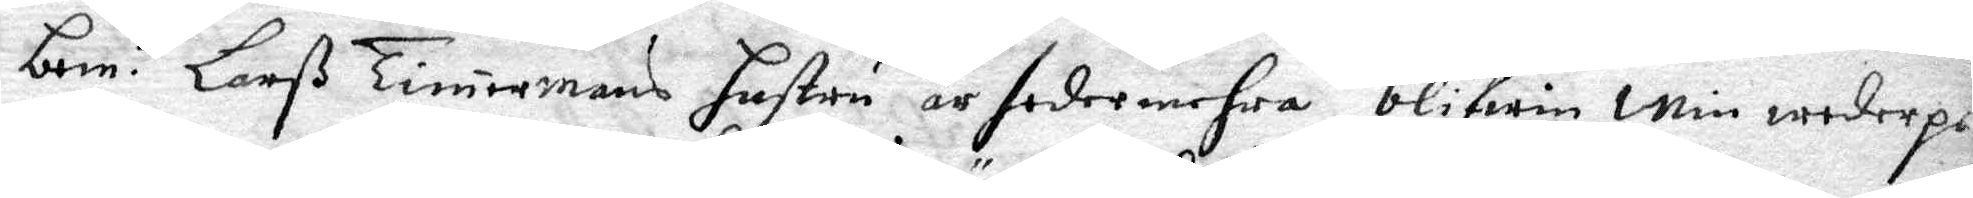bem. te Larß Timermans hustru är sedermehra blifwin min wederpa
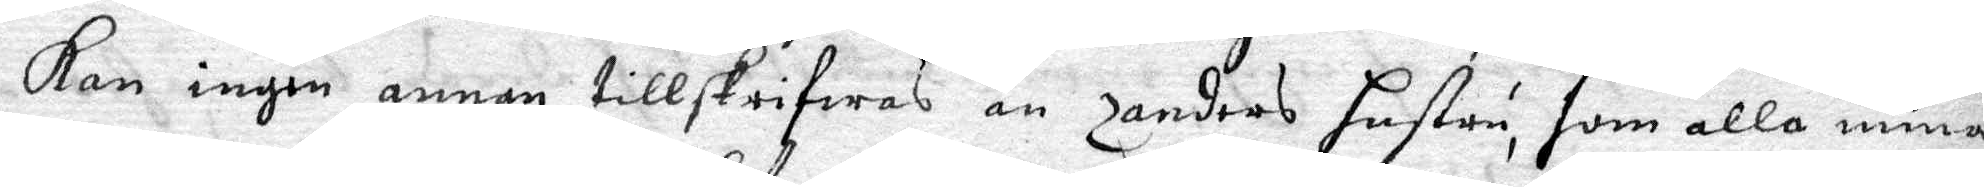Kan ingen annan tillskrifwas än Zanders hustru, som alla mina
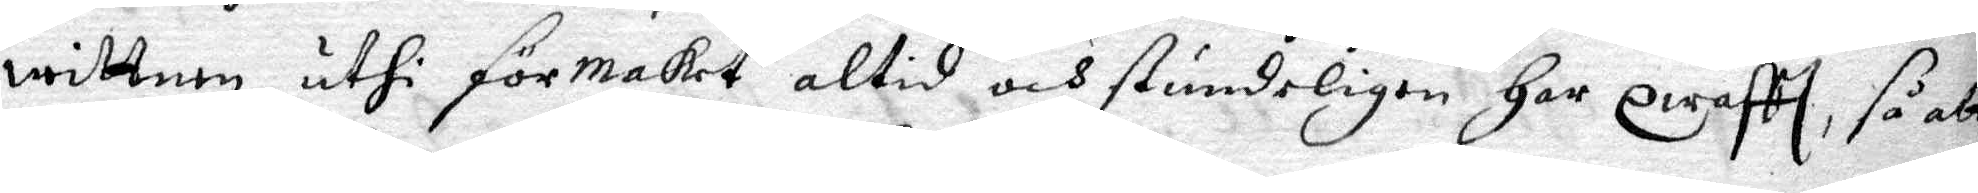wittnen uthi förmaket altid och stundeligen Har qwafft, så att
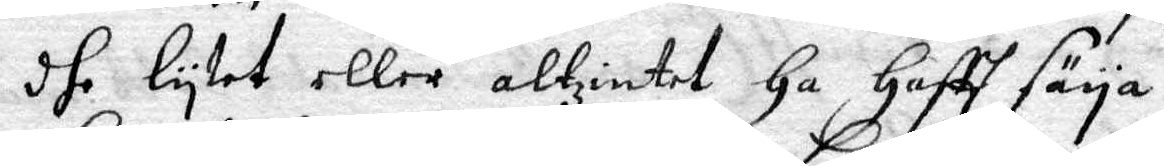dhe lytet eller altzintet Ha Hafft säya.
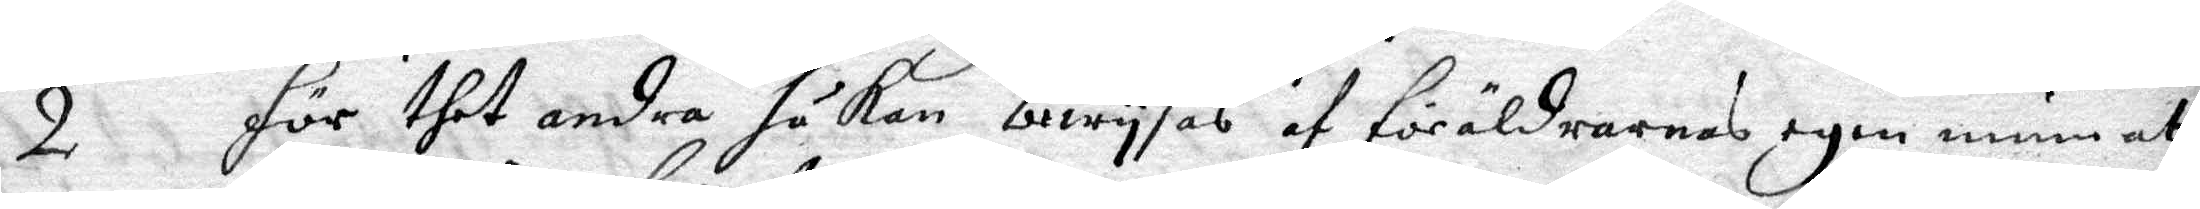2 för dhet andra så kan bewysas af foräldrarnas egen mun att
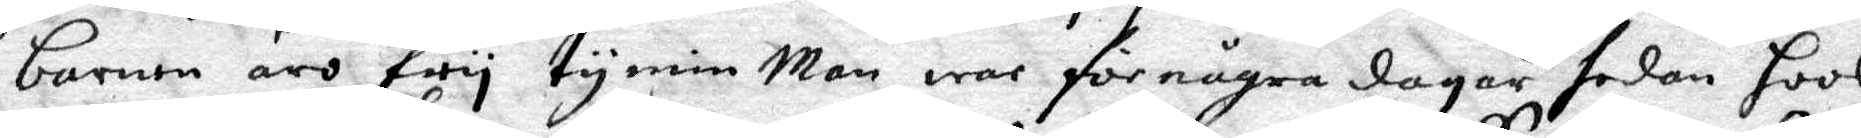barnen äro fry ty min Man war för några dagar sedan hoos
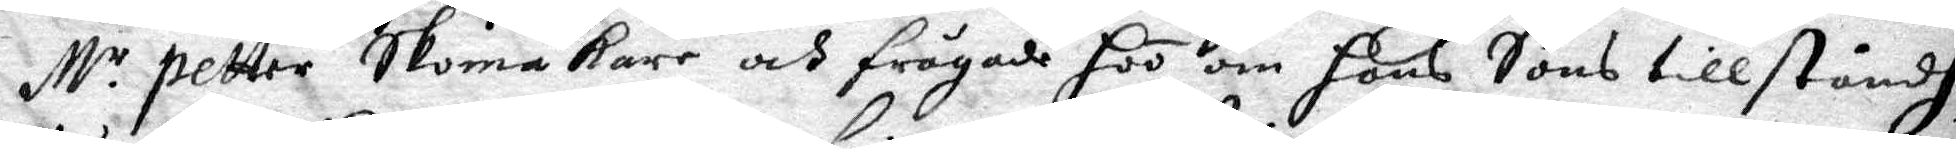M.r Petter Skomakare och frågade hoo om hans Sons tillståndh,
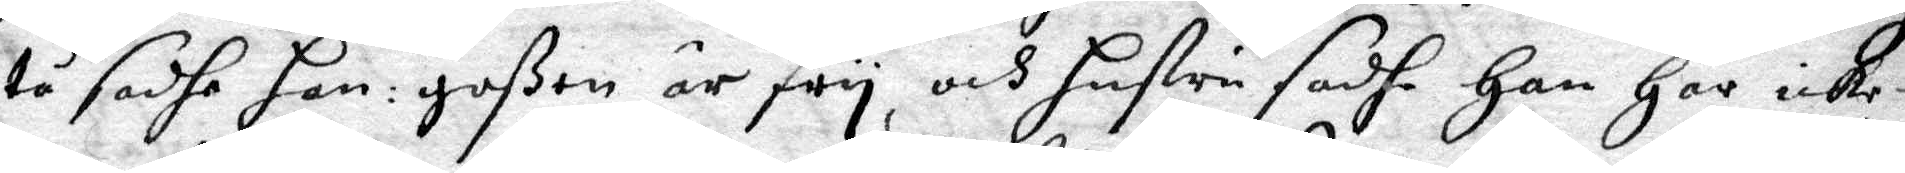tå sadhe han: goßen är fry, och hustru sadhe Han Har icke
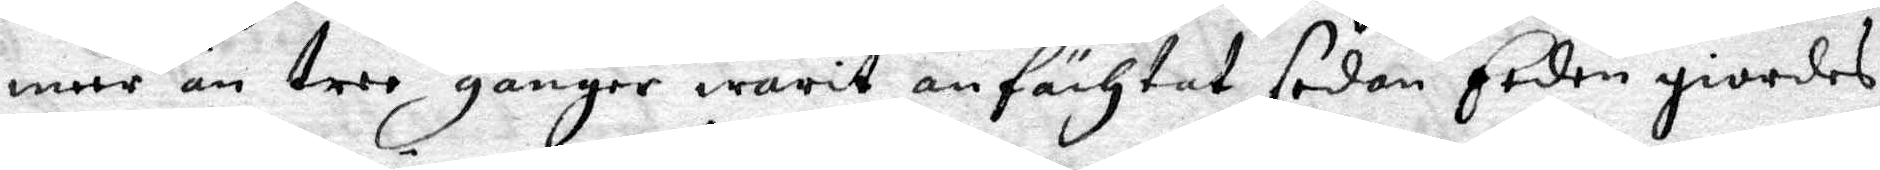meer än tree gånger warit anfächtat sedan Eeden giordes
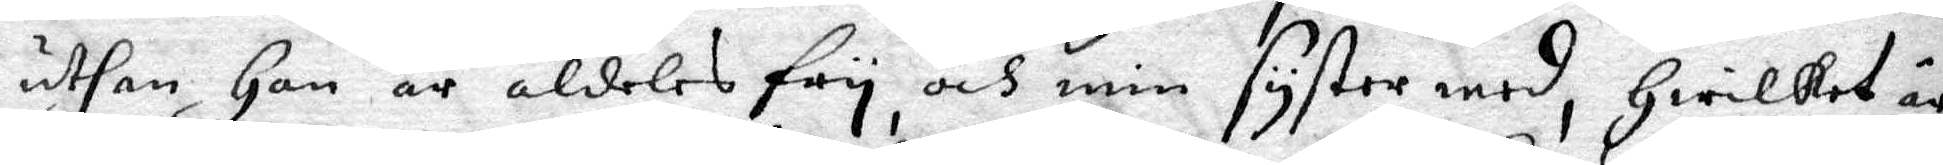uthan Hon är aldeles fry, och min syster med, Hwilket är
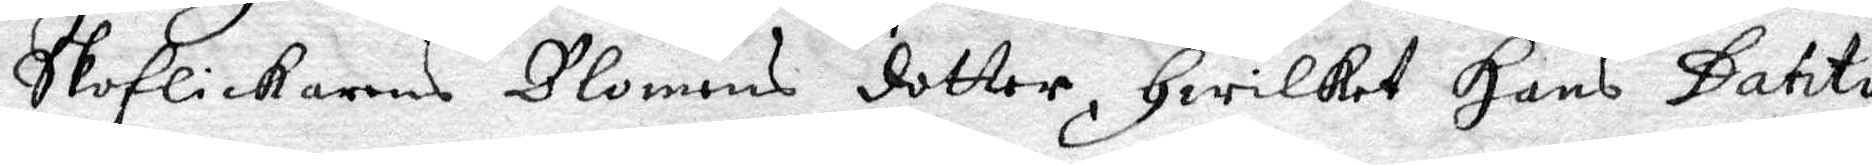Skoflickarens Blomens dotter, Hwilket Hans Datito
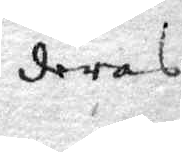deras
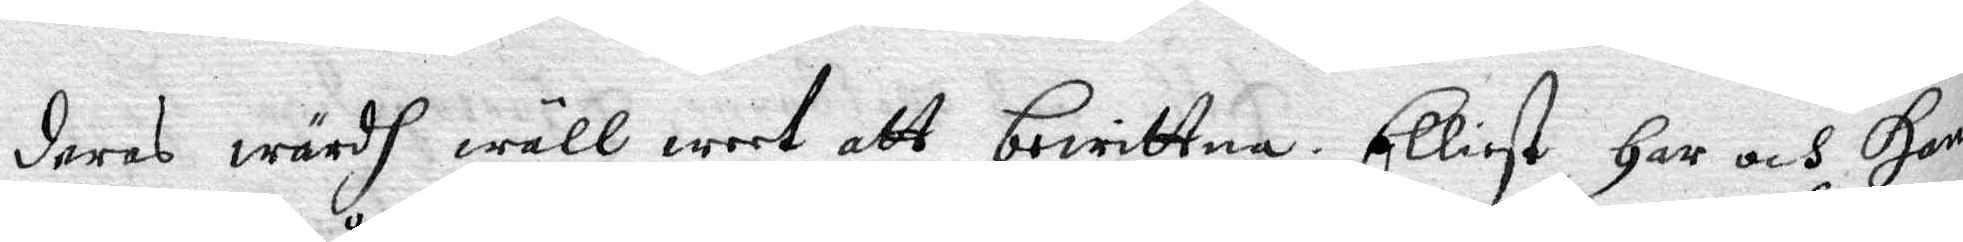deras wärdh wäll weet att bewittna. Elliest Har och Hans
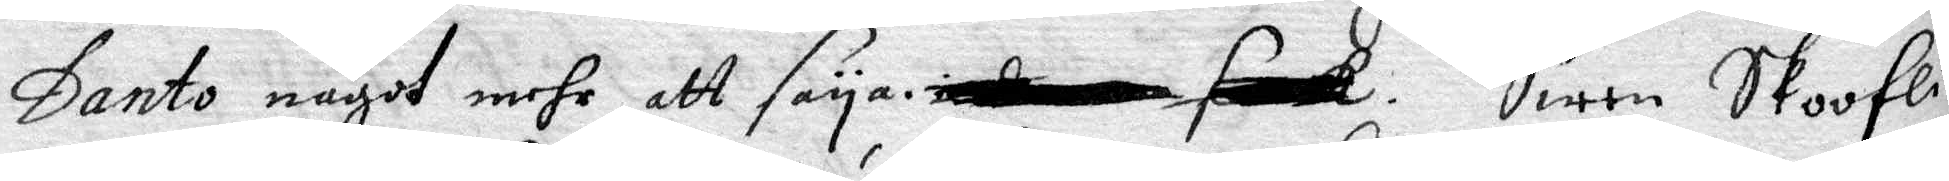Danto något mehr att saya. Swen Skooflick..¬
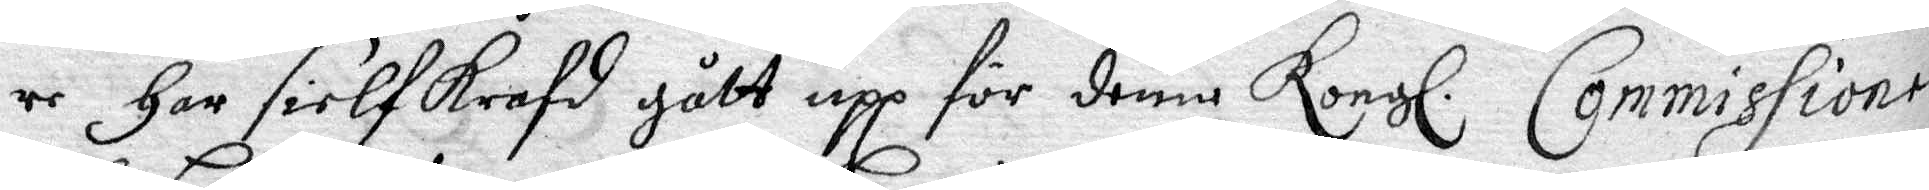re Har sielf Krafd gått upp för denne Kongl. Commissionen
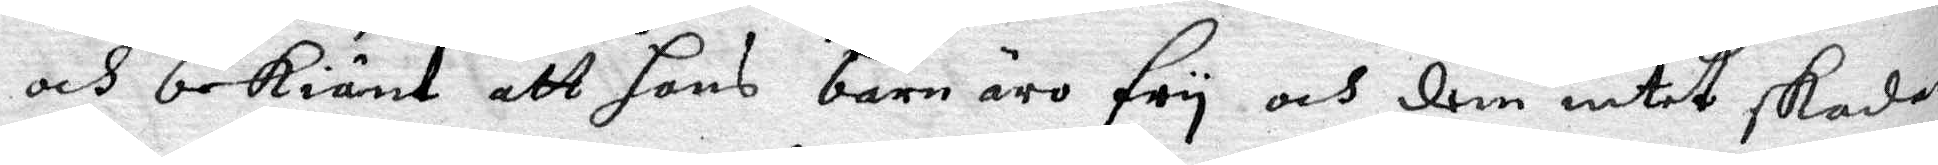och bekiänt att hans barn äro fry och dem intet skadar
